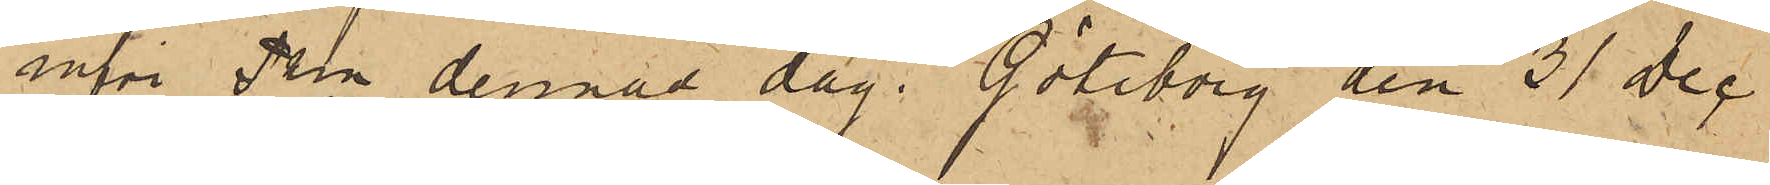inför Pkn denna dag. Göteborg den 31 Dec
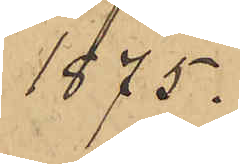1875.
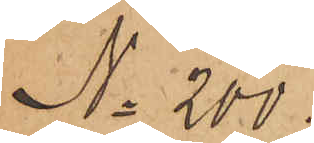No 200.
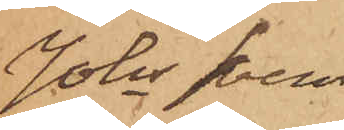Johs Svens¬
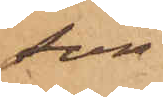son
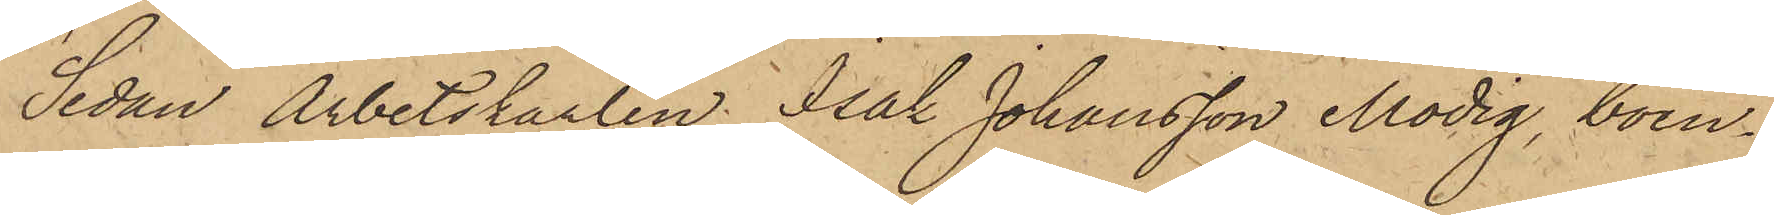Sedan Arbetskarlen Isak Johansson Modig, boen¬
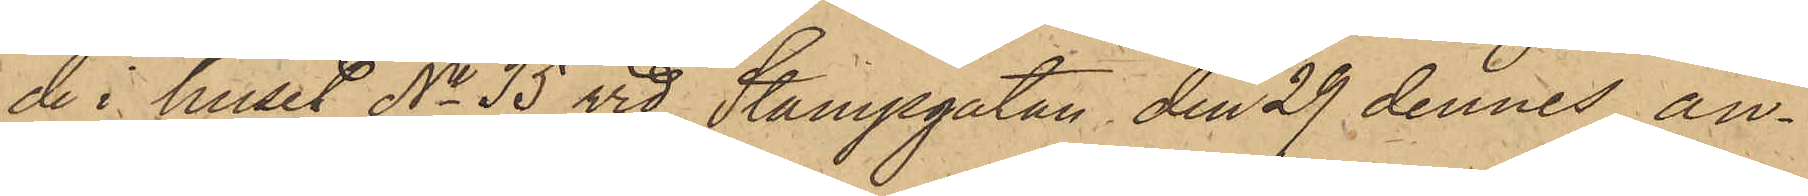de i huset No 35 vid Stampgatan den 29 dennes an¬
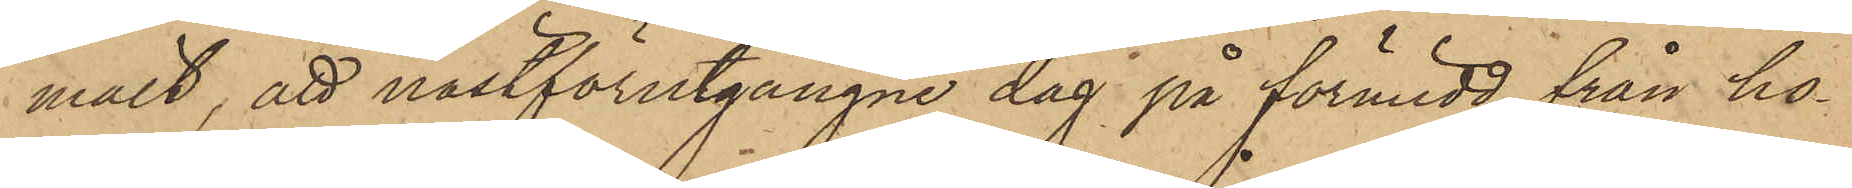mält, att nästförutgångne dag på förmidd från ho¬
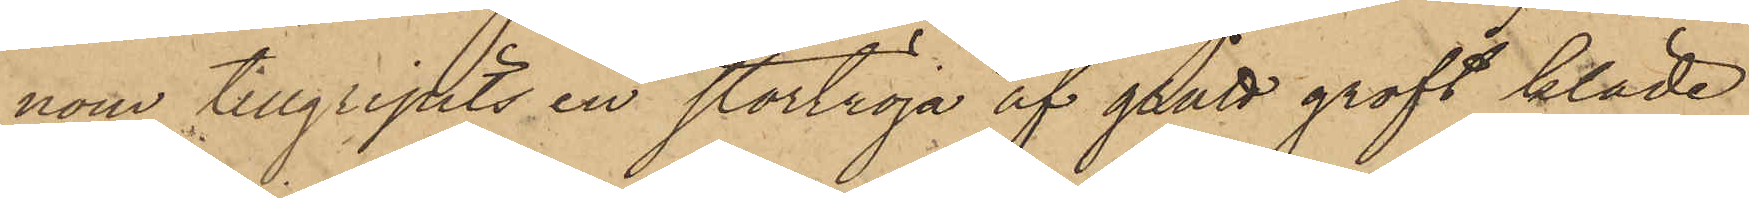nom tillgripits en stortröja af grått groft kläde
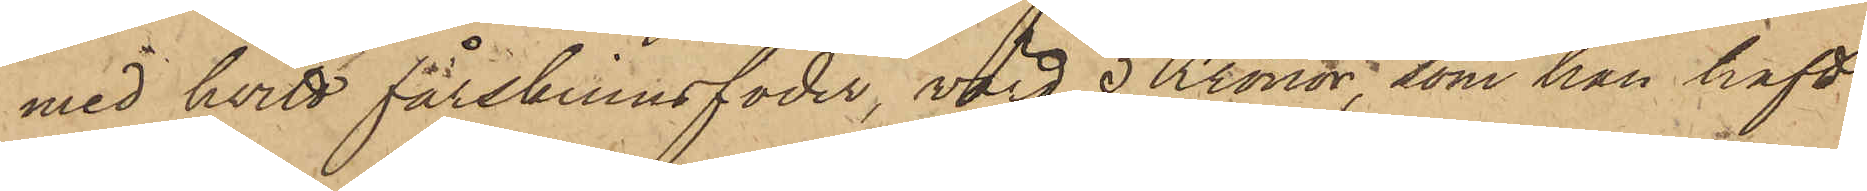med hvitt fårskinnsfoder, värd 5 Kronor, som han haft
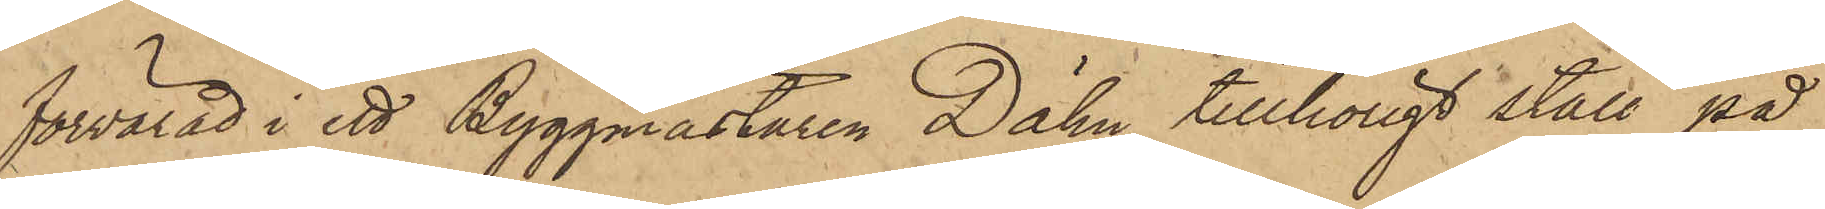förvarad i ett Byggmästaren Dähn tillhörigt stall på
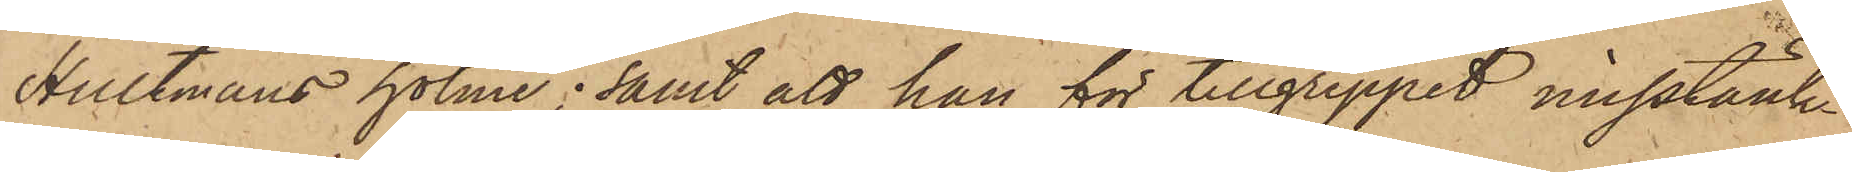Hultmans holme; samt att han för tillgreppet misstänk¬
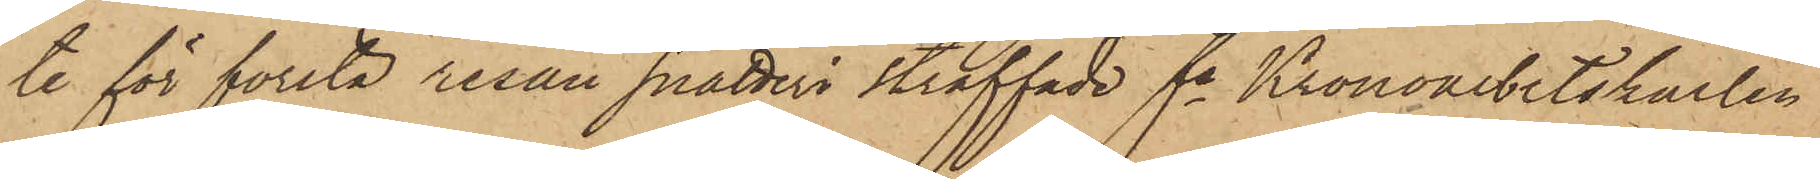te för första resan snatteri straffade fe Kronoarbetskarlen
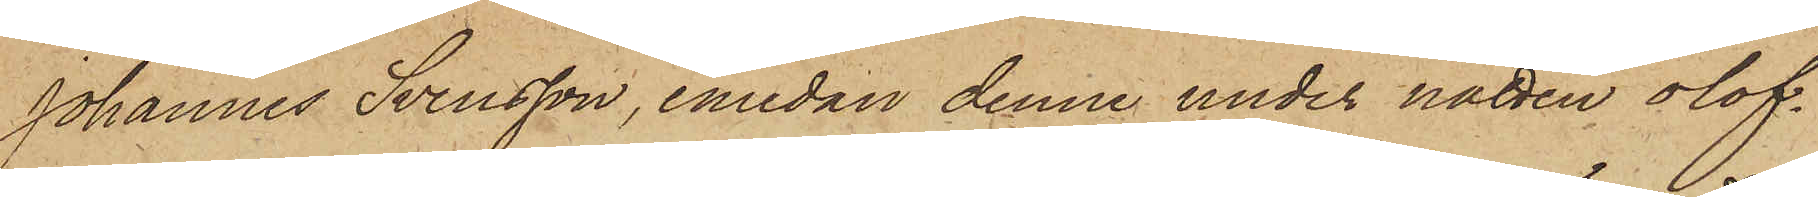Johannes Svensson, emedan denne under natten olof¬
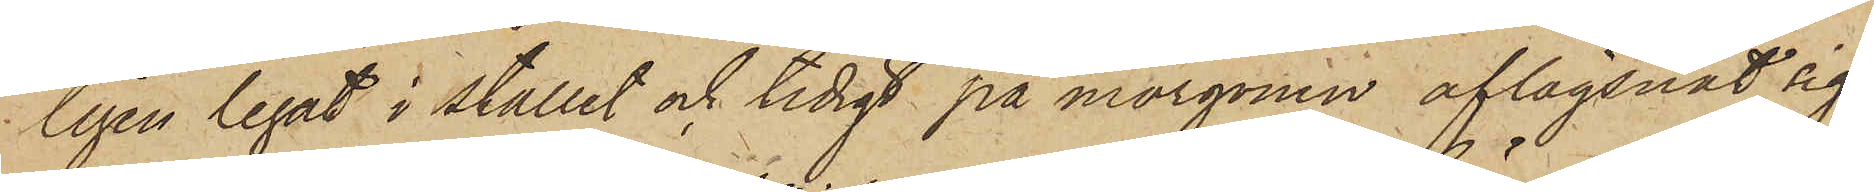ligen legat i stallet och tidigt på morgonen aflägsnat sig
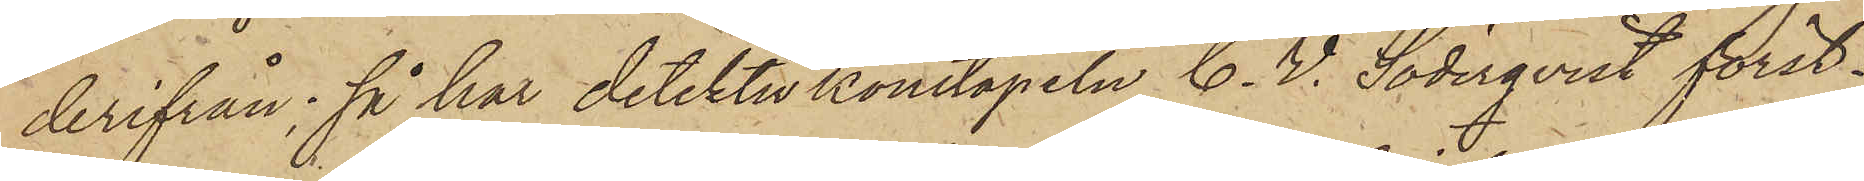derifrån; så har detektivkonstapeln C. V. Söderqvist först¬
